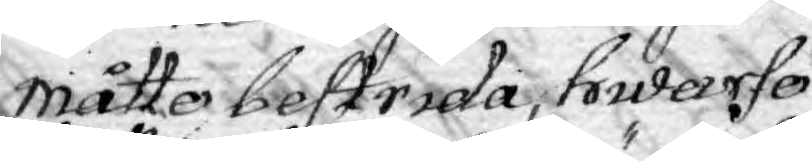måtte bestrida, hwarfö¬
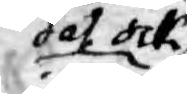det ock
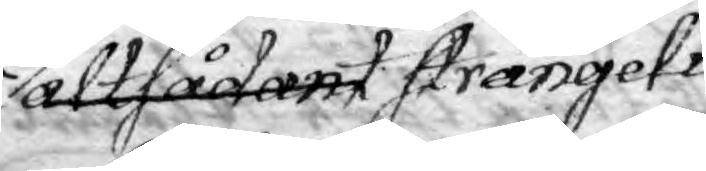alt sådant strängeli¬
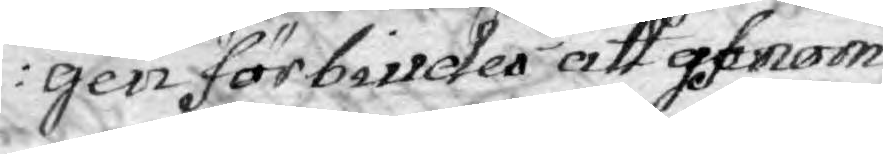gen förbiuder att genom
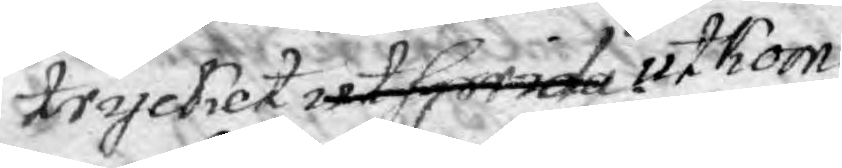trycket utsprida utkom¬
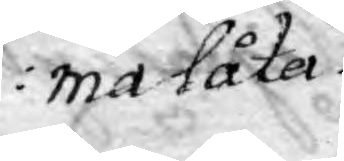ma låta.
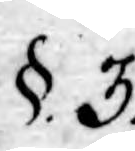§. 3.,
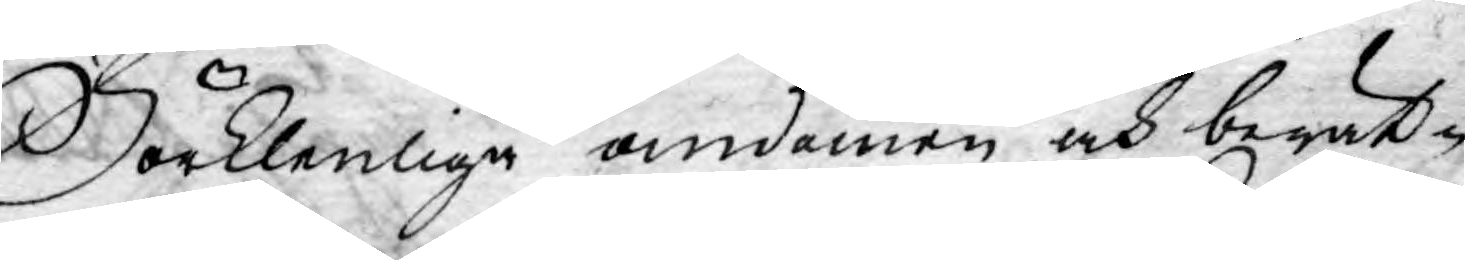Förklenliga omdömen och berät¬
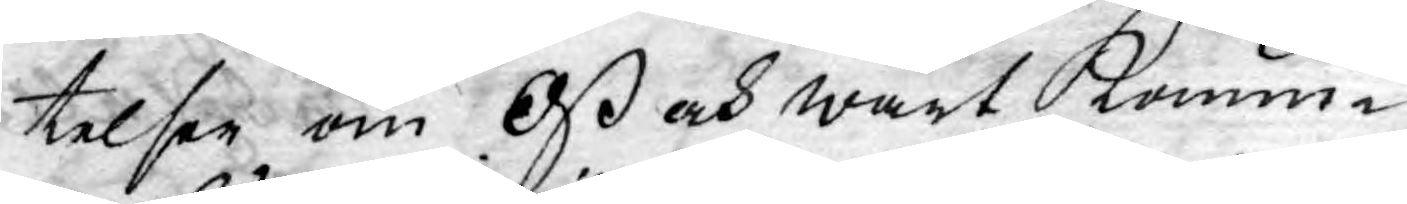telser om Oß och wårt konun¬
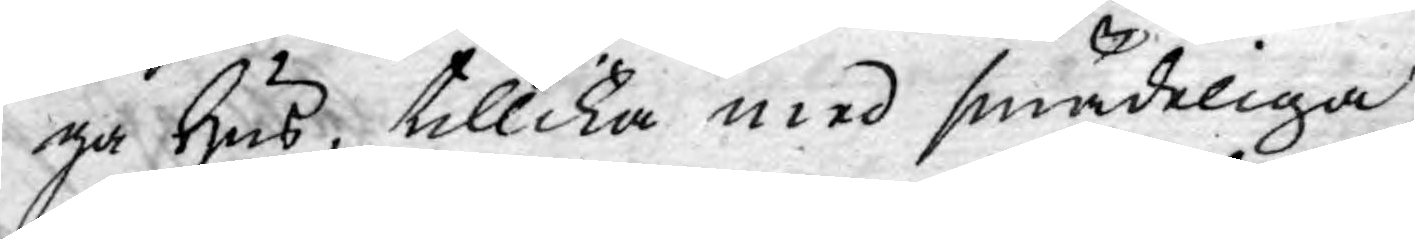ga Hus, tillika med smädeliga
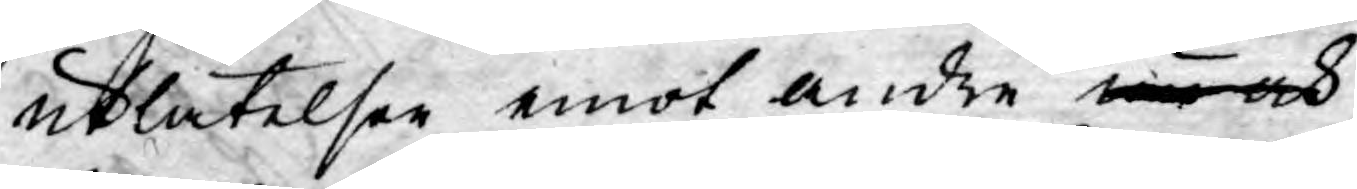utlåtelser emot andre nu och
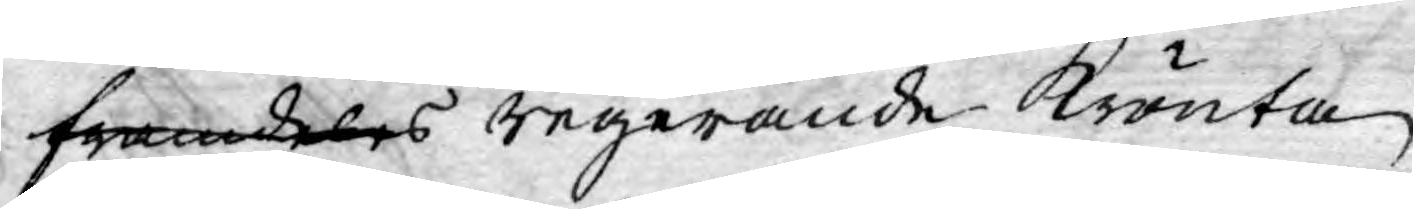framdeles regerande krönta
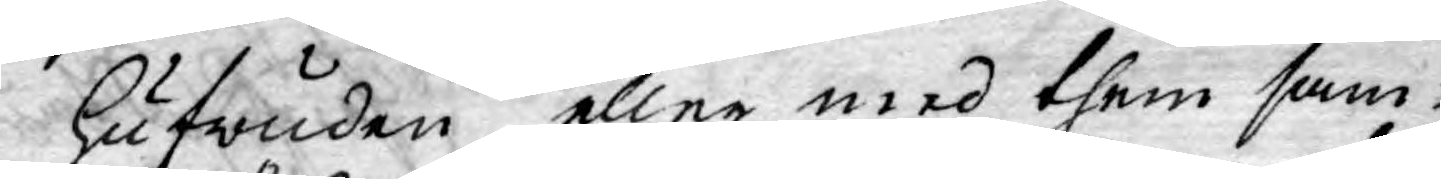hufwuden eller med them sam¬
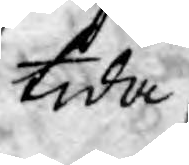tida
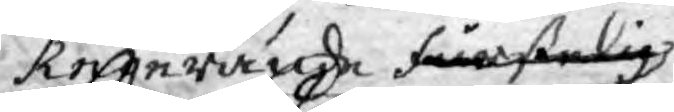Regerande furstelig
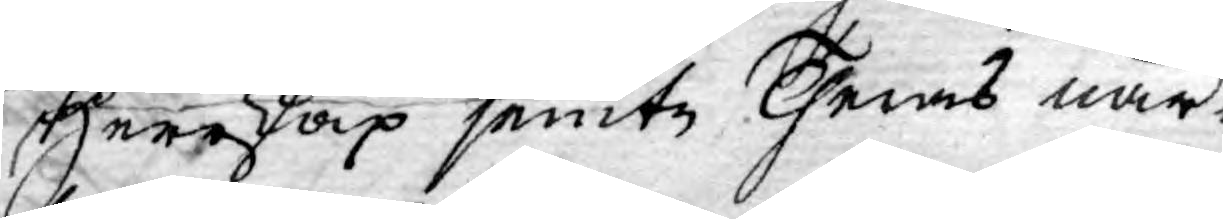Herrskap jemte Theras när-
